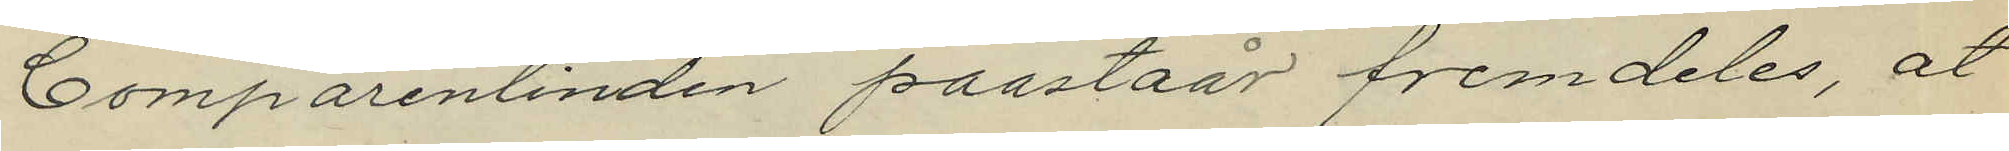Comparentinden paastaår fremdeles, åt
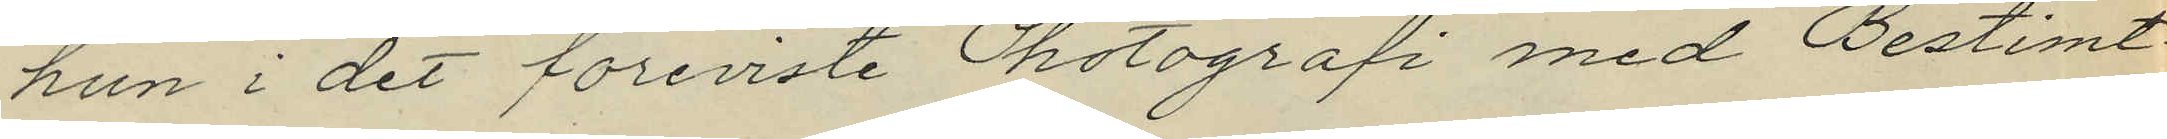hun i det foreviste Photografi med Bestimt¬
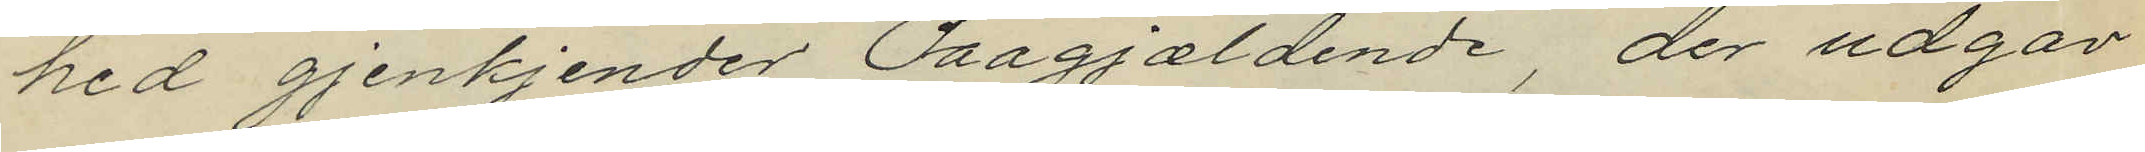hed gjenkjender Paagjældende der udgav
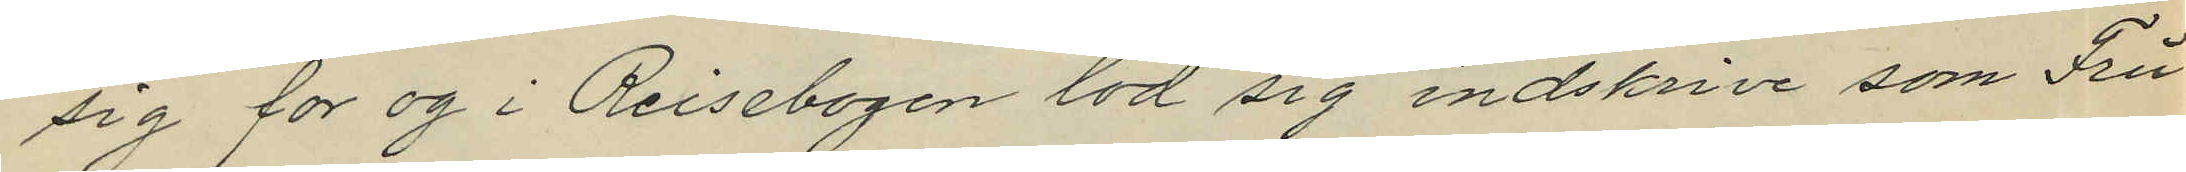sig for og i Reisebogen lod sig indskrive som Fru
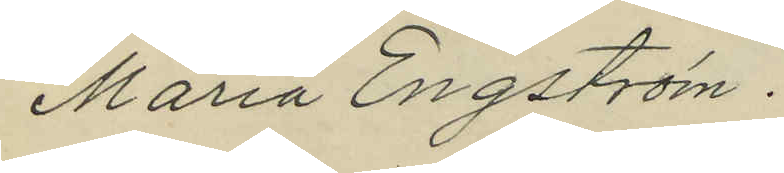Maria Engström.
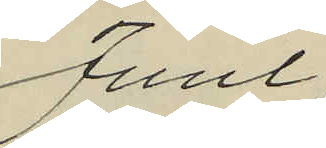Juul,
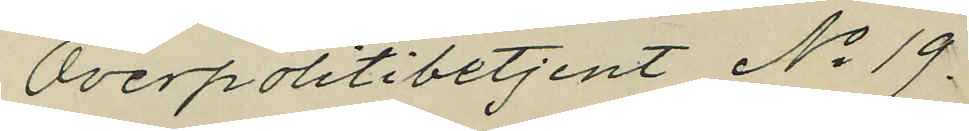Overpolitibetjent No 19
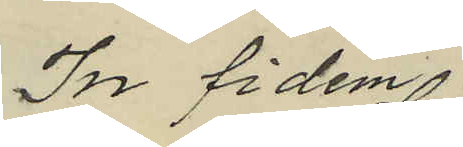In fidem
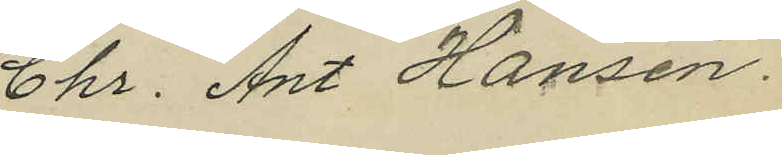Chr. Ant Hansen.
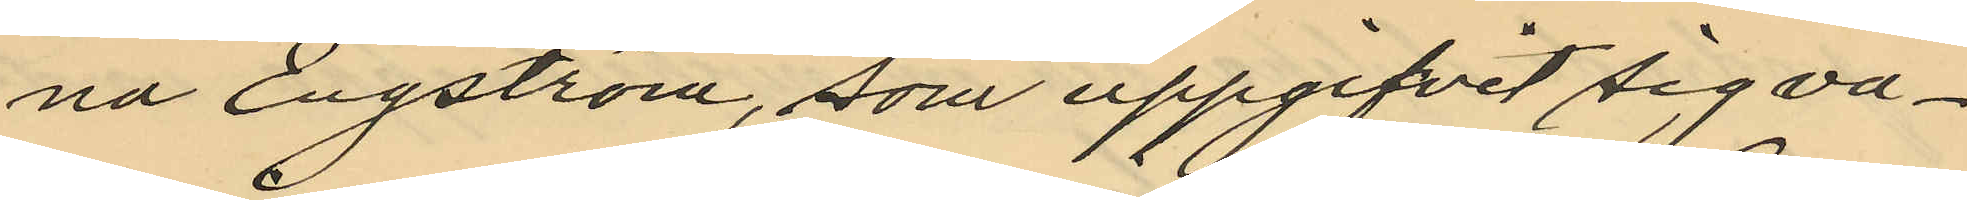na Engström, som uppgifvit sig va¬
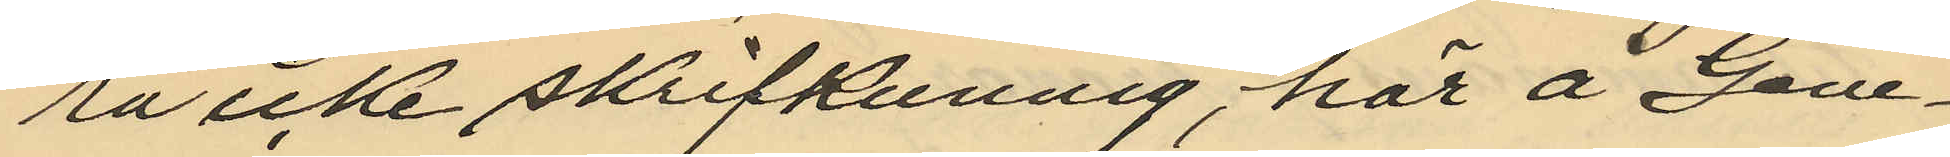ra icke skrifkunnig, här å Gene¬
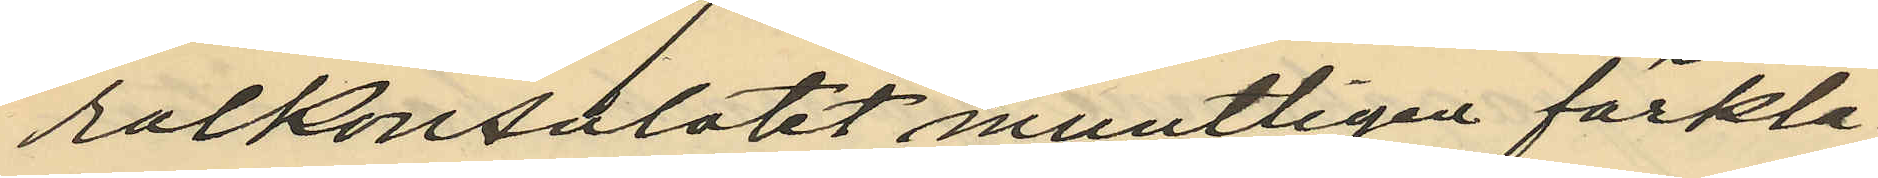ralkonsulatet muntligen förkla¬
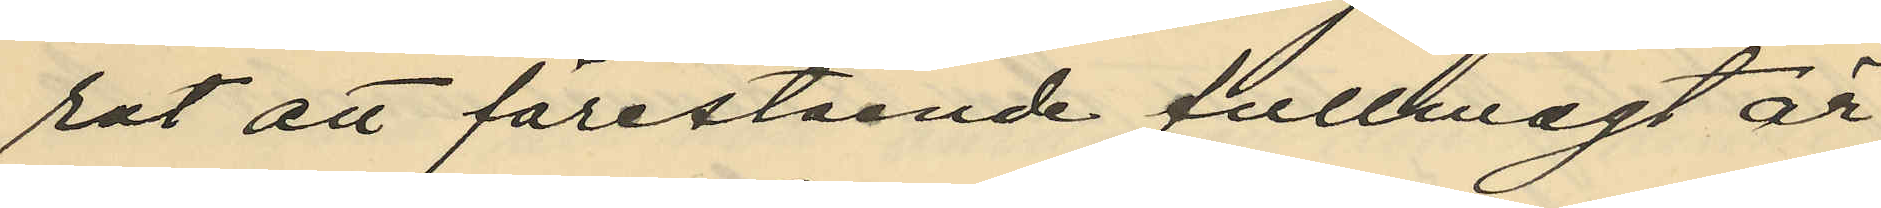rat att förestående fullmagt är
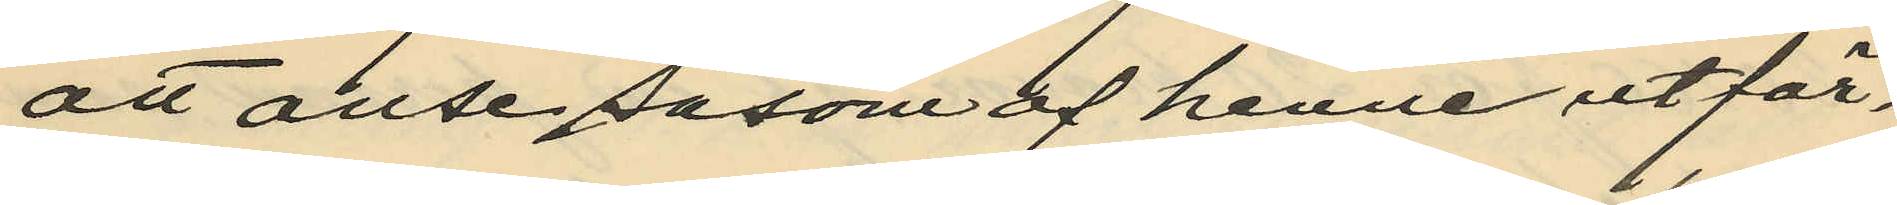att anse såsom af henne utfär¬
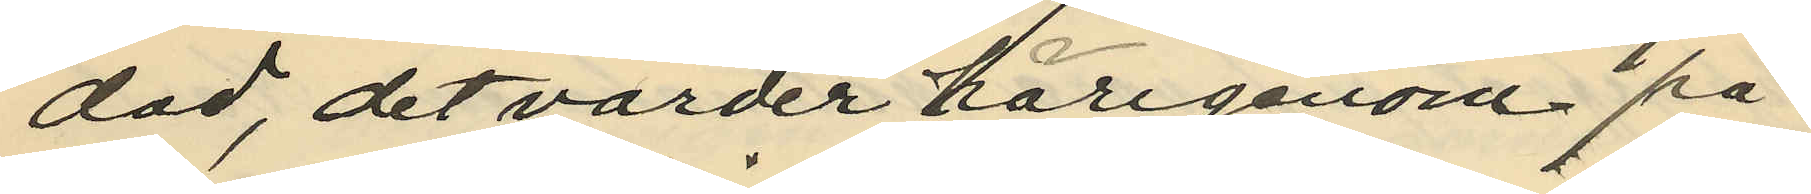dad, det varder härigenom på
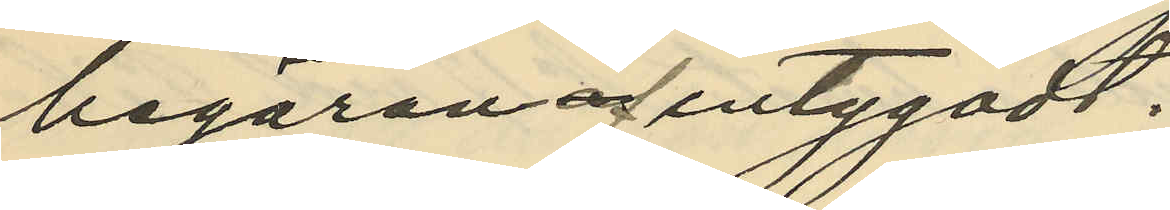begäran af intygadt.
